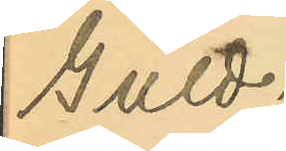Guld¬
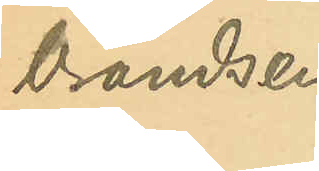brandsen
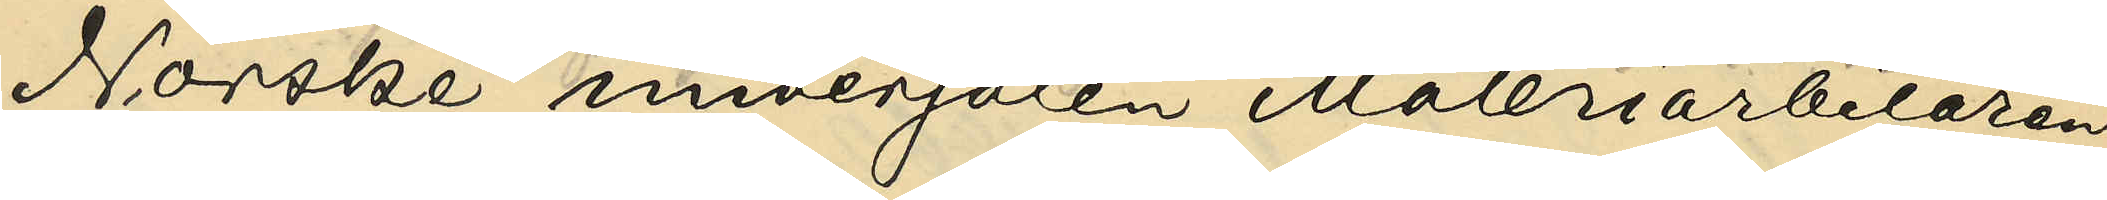Norske undersåten  Måleriarbetaren
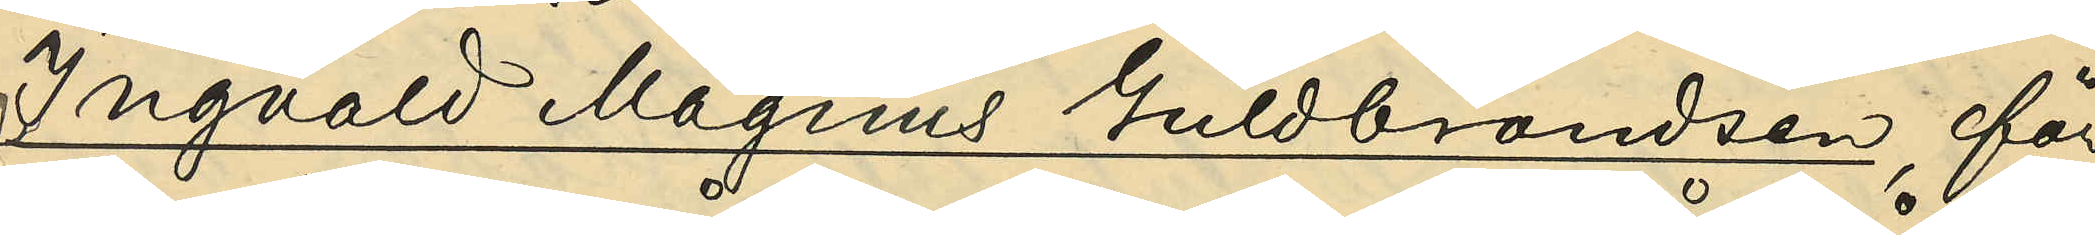Ingvald Magnus Guldbrandsen, för
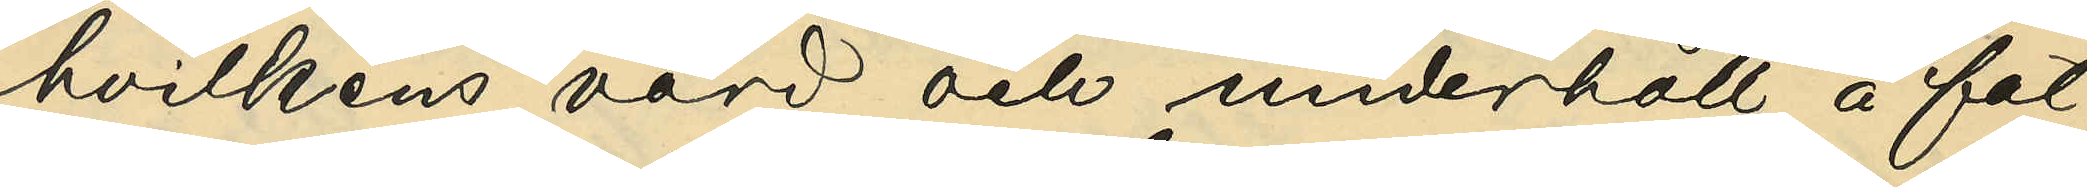hvilkens vård och underhåll å fat¬
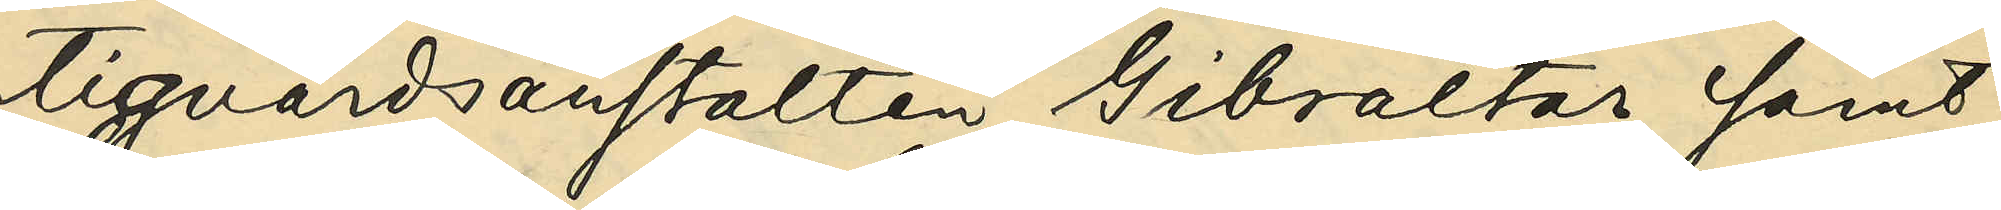tigvårdsanstalten Gibraltar samt
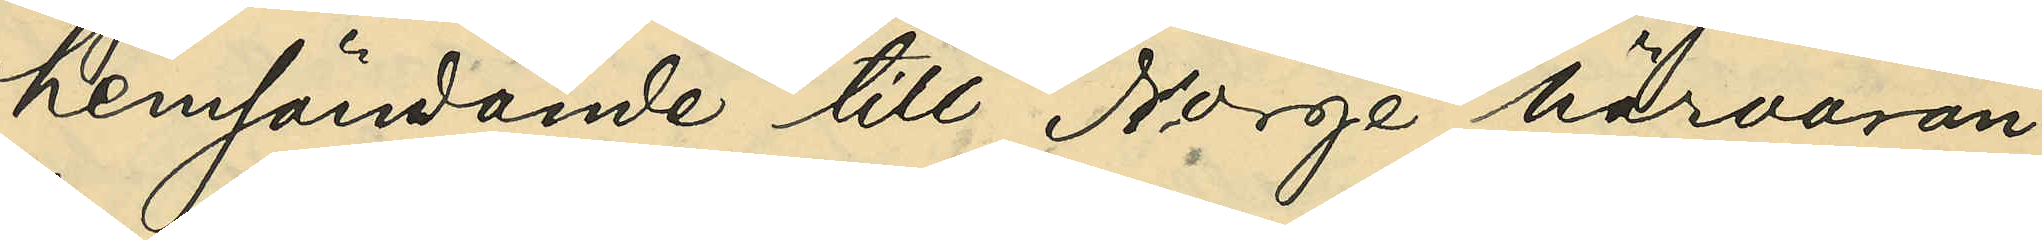hemsändande till Norge härvaran¬
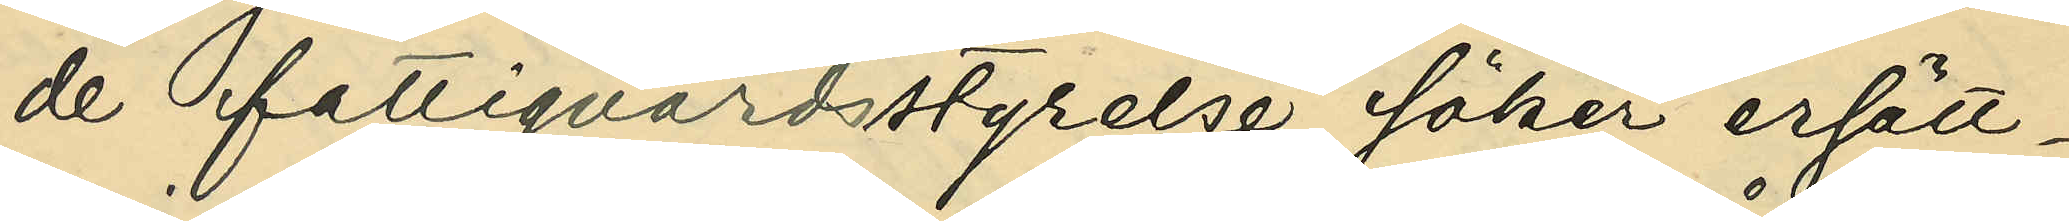de fattigvårdsstyrelse söker ersätt¬
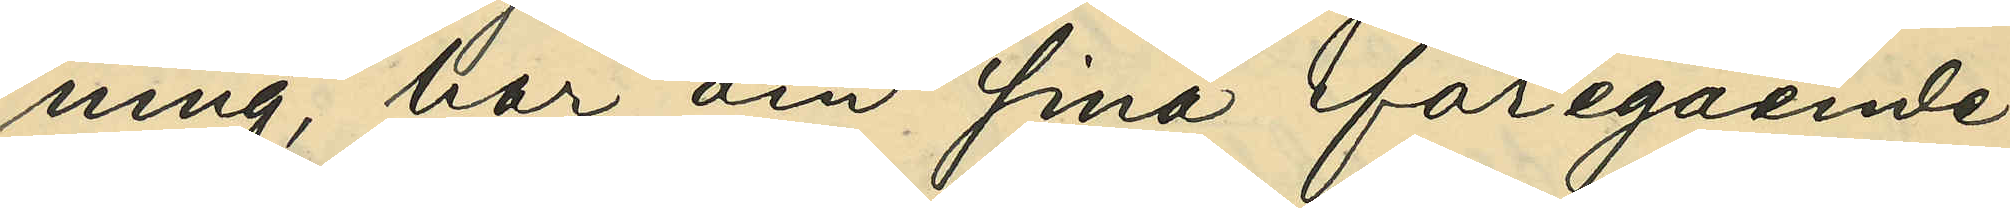ning, har om sina föregående
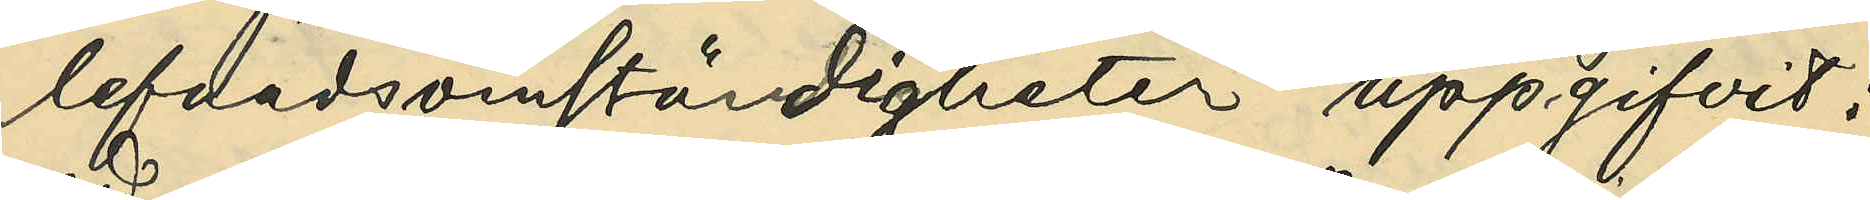lefnadsomständigheter uppgifvit:
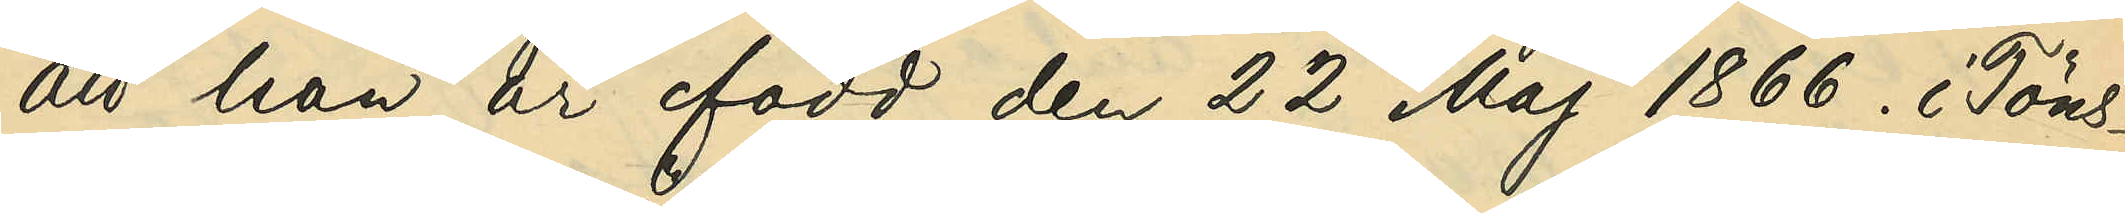att han är född den 22 Maj 1866. i Töns¬
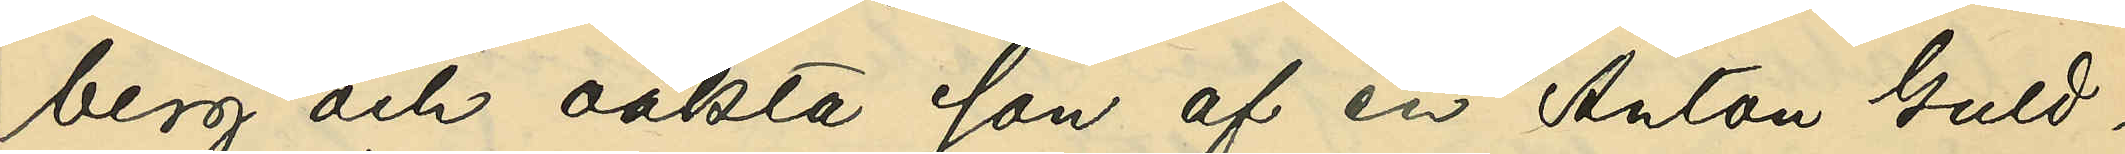berg och oäkta son af en Anton Guld¬
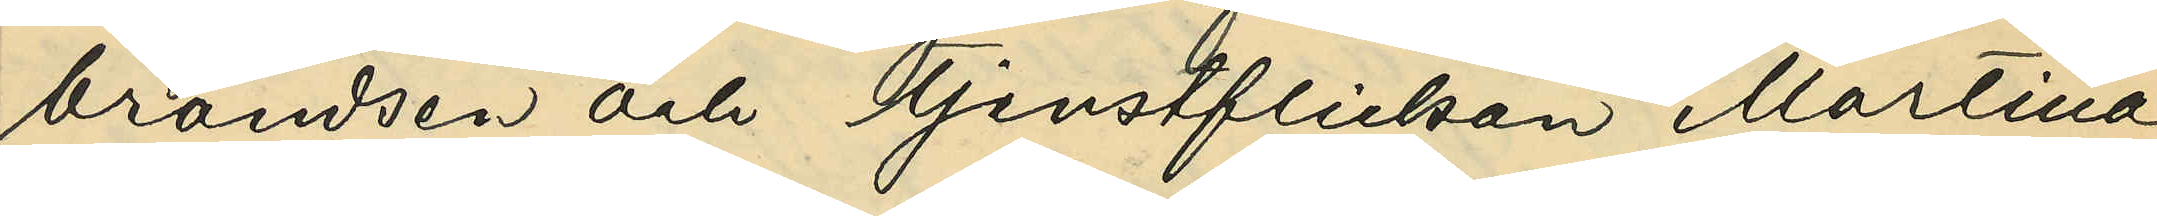brandsen och tjensteflickan Martina
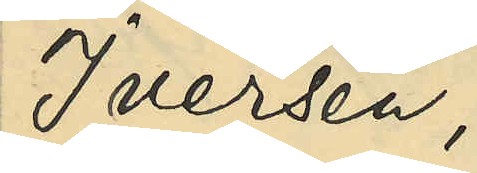Iversen;
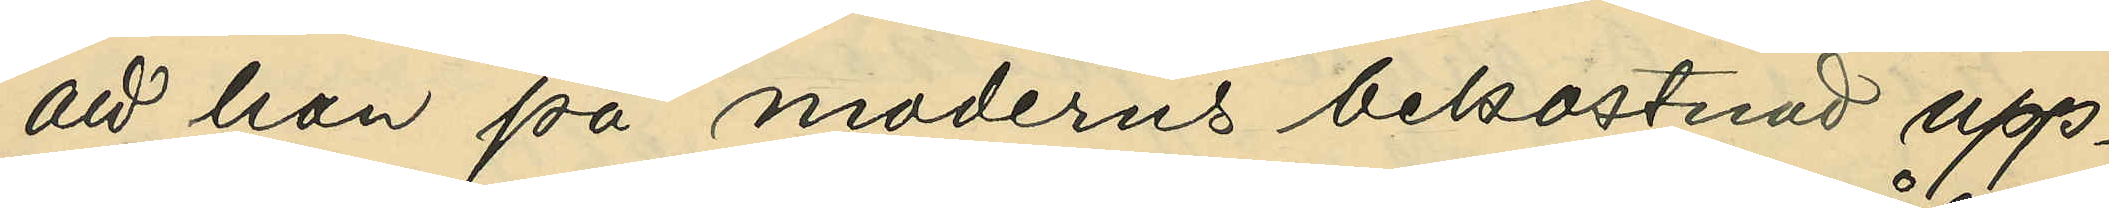att han på moderns bekostnad upp¬
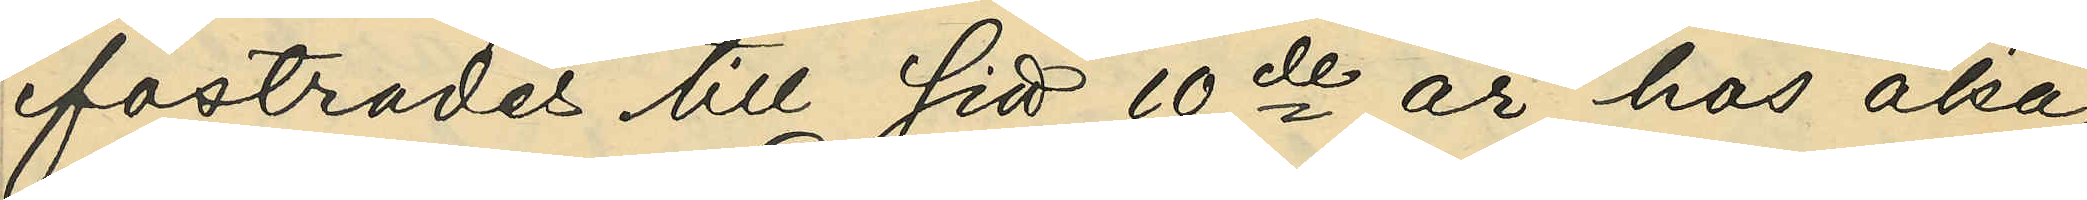fostrades till sitt 10de år hos åka¬
